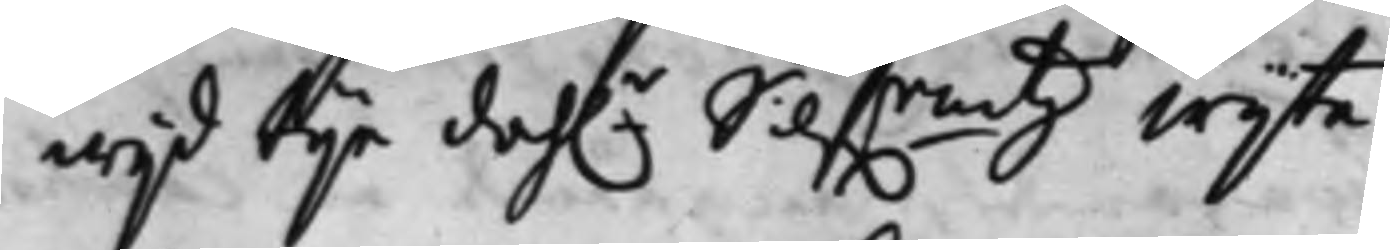wijd tijo dah.r Silf.rmtz wijte.
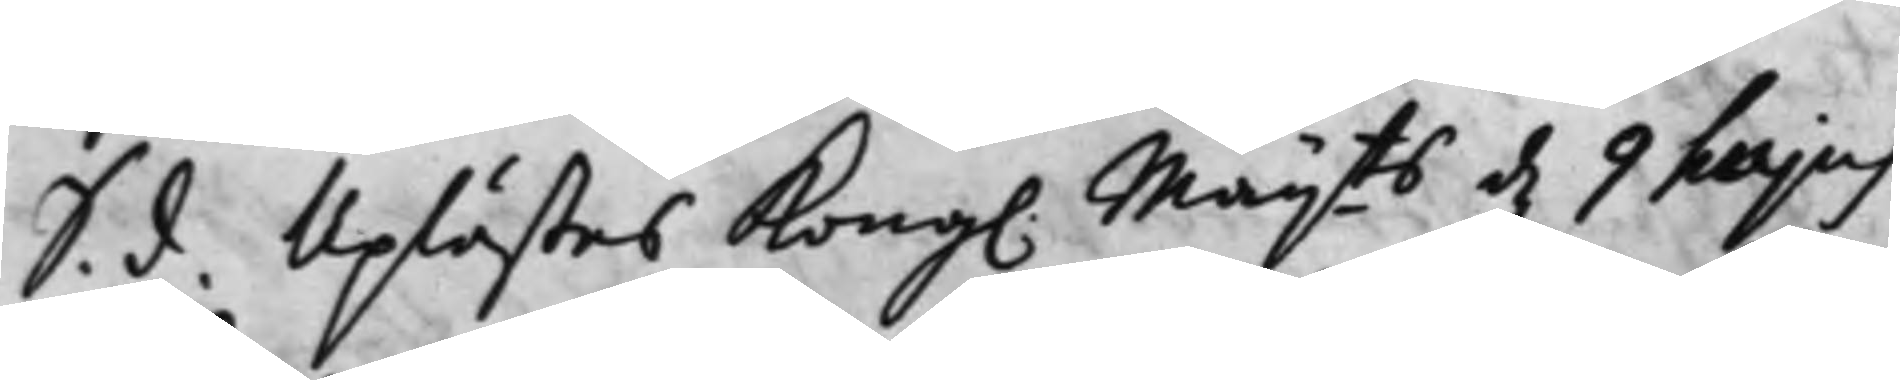S. d. Uplästes Kong. Maij.ts d. 9 hujus
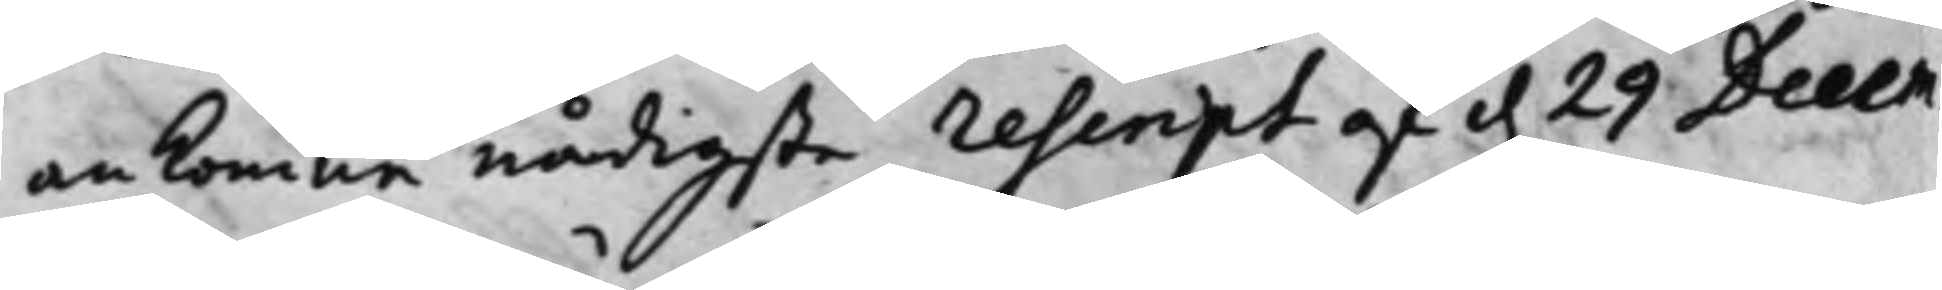ankomne nådigste rescript af d. 29 Decem¬
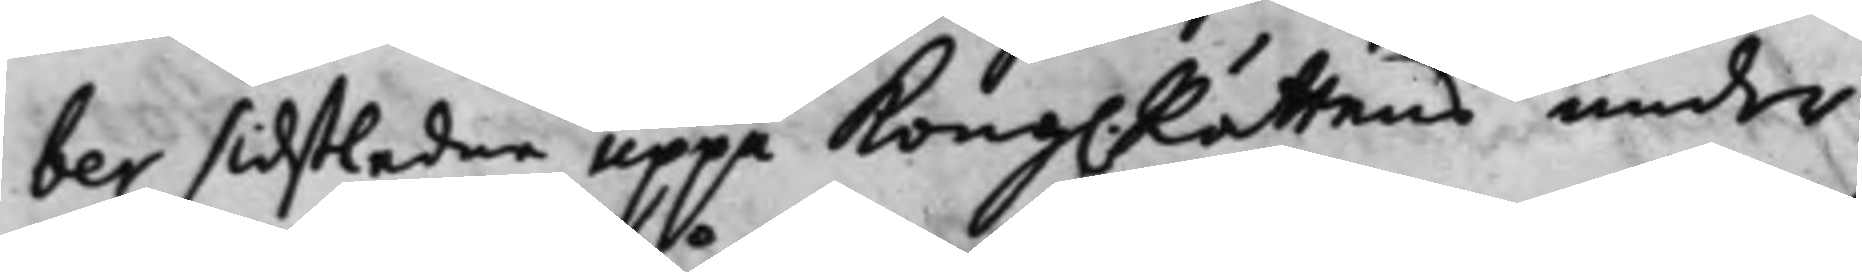ber sidstledne uppå Kong. Rättens under¬
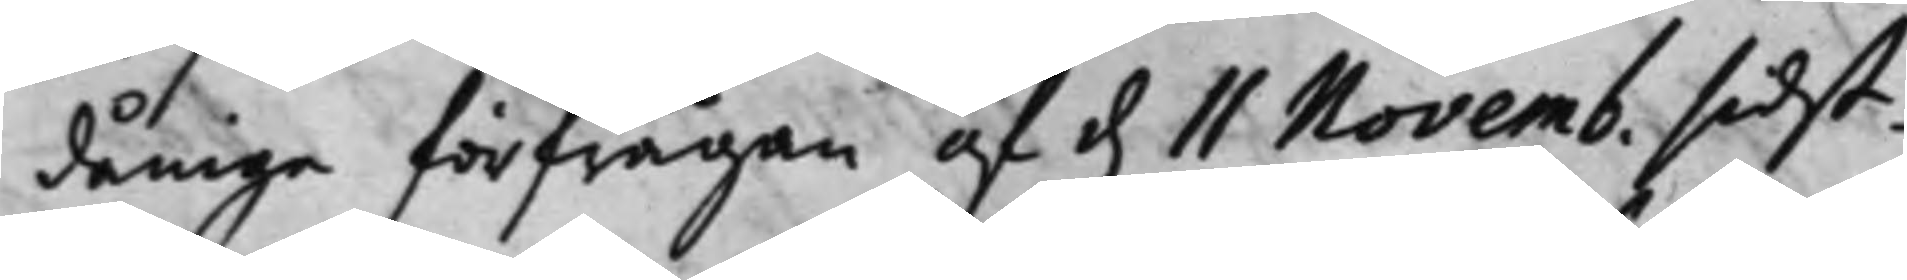dånige förfrågan af d. 11 Novemb. sidst¬
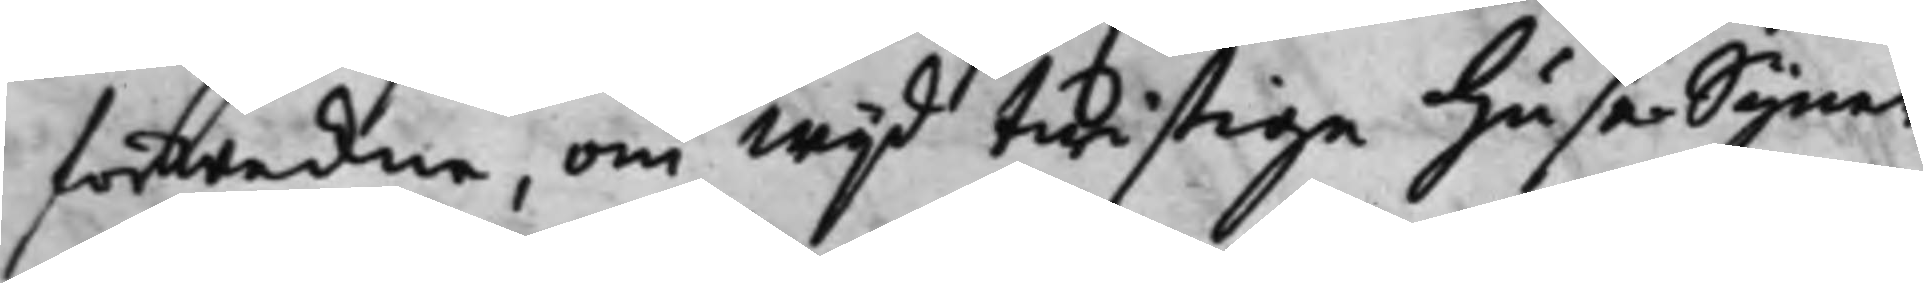förwekne, om wijd twistige HuseSyner
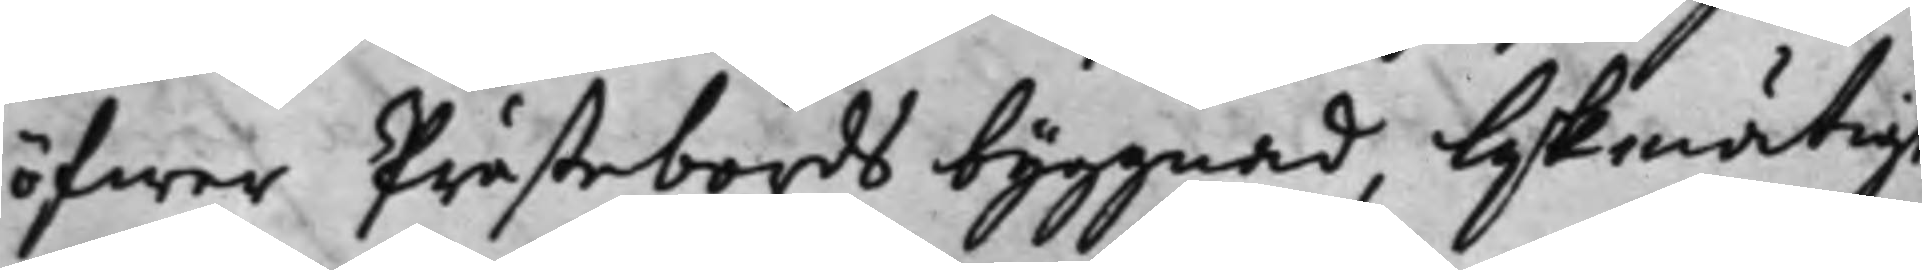öfwer Prästebords byggnad, lijkmätigt
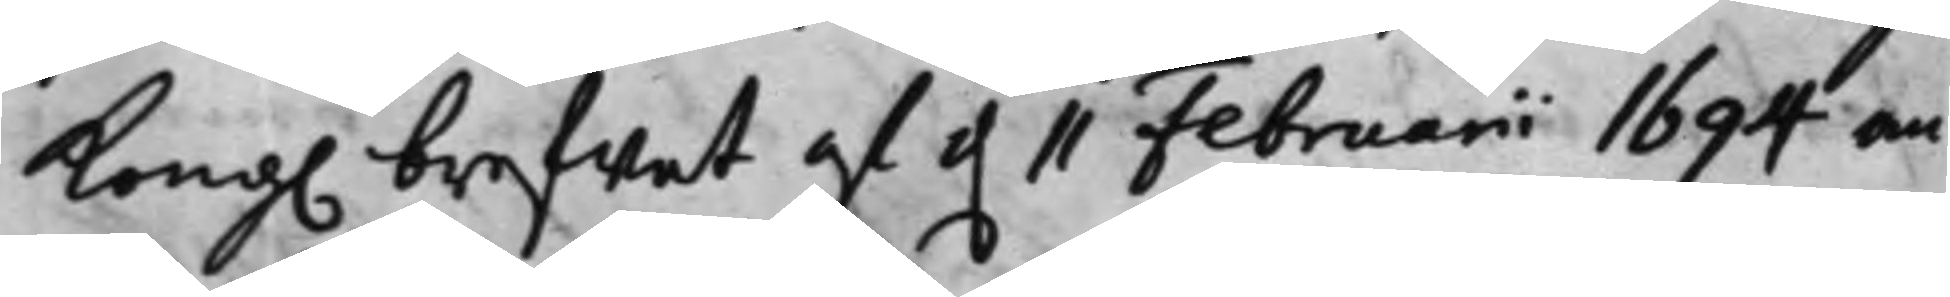Kong. brefwet af d. 11 Februarii 1694 an¬
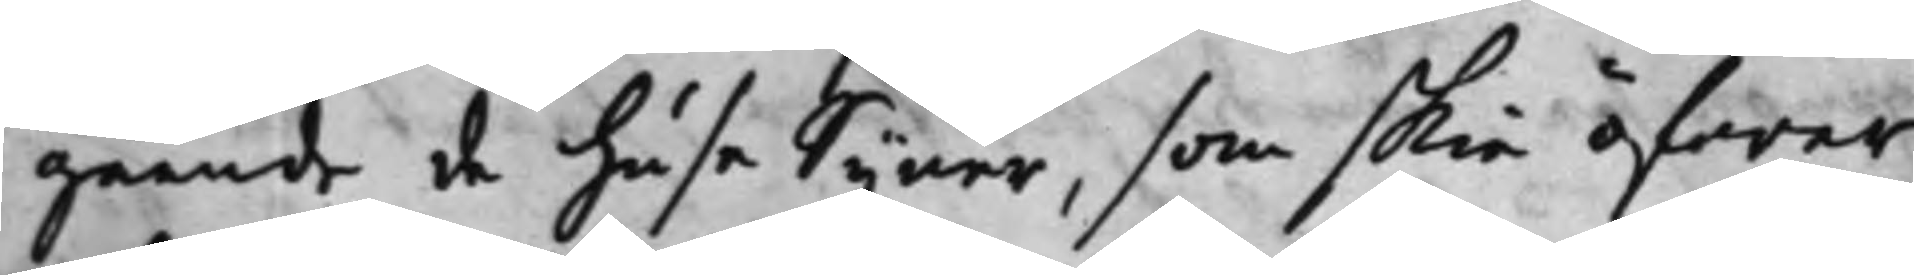gående de huse Syner, som skie öfwer
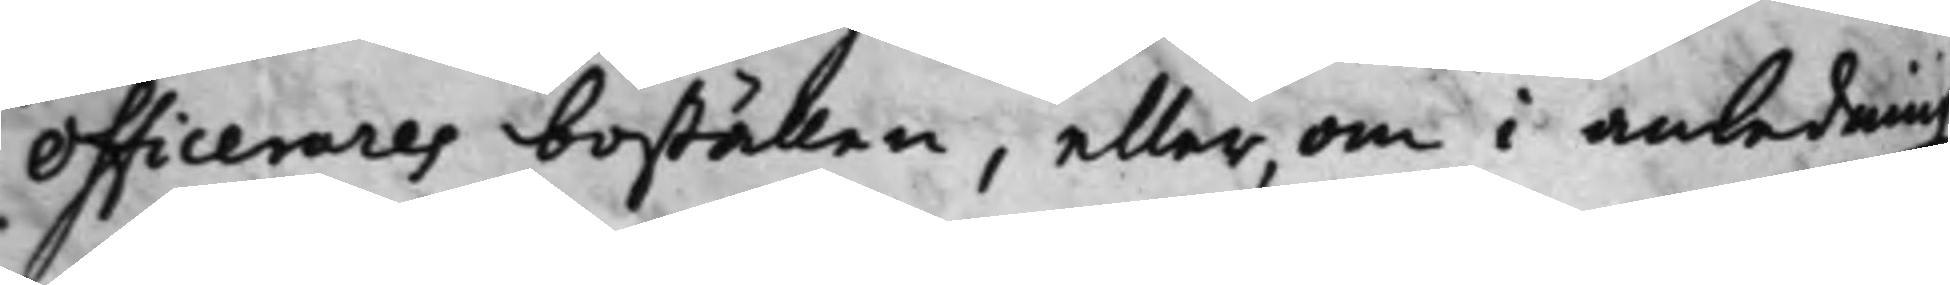Officerares boställen, eller, om i anledning
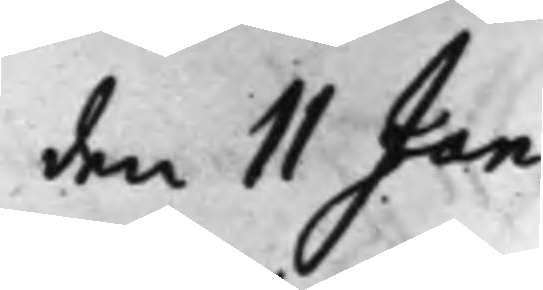den 11 Jan.
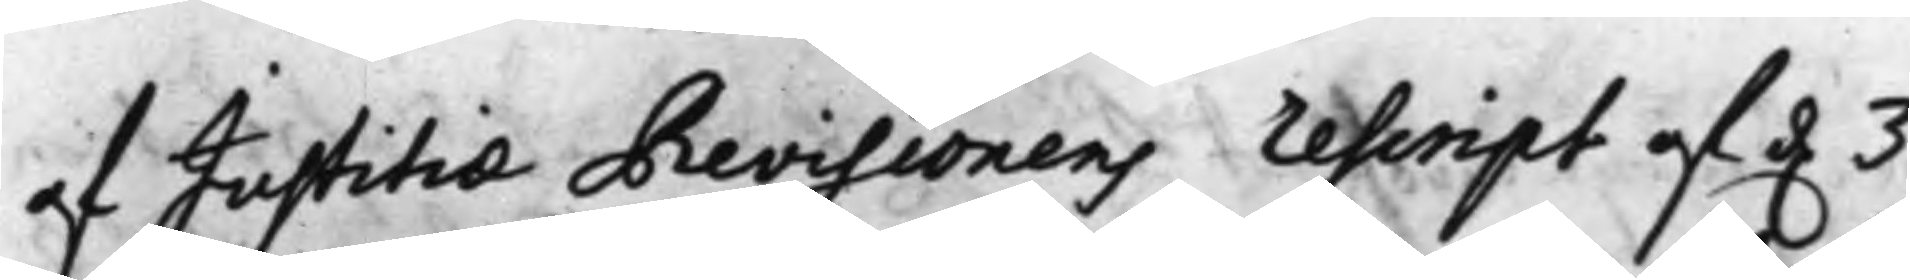af Justitiae Revisionens rescript af d. 3
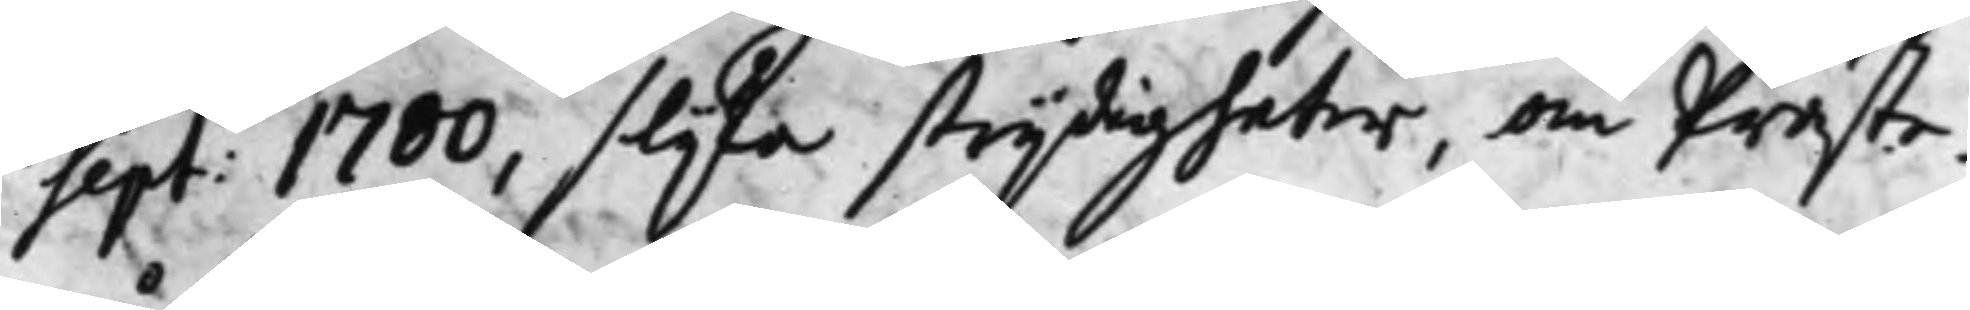Sept: 1700, slijka strijdigheter, om Präste¬
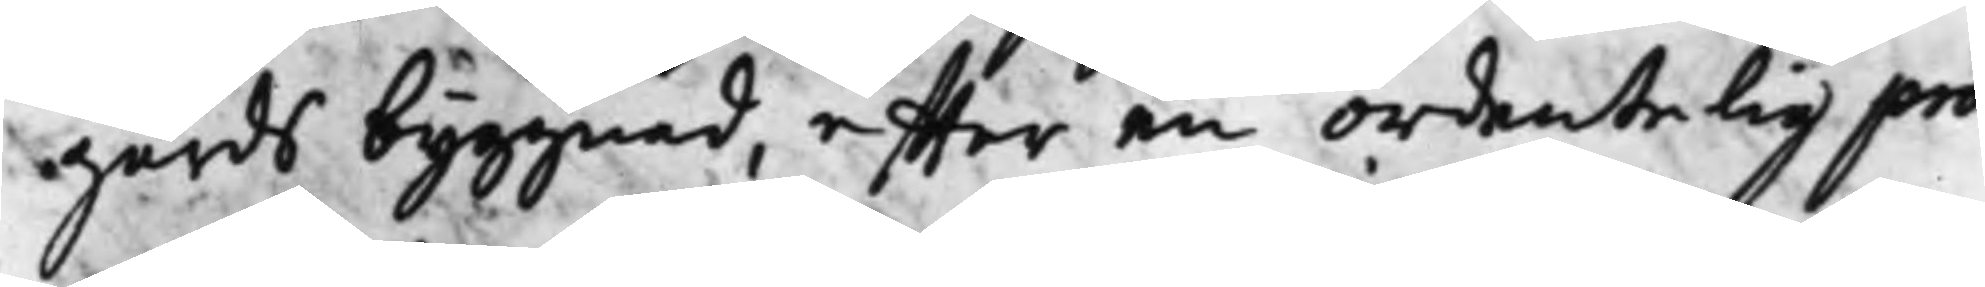gårds byggnad, effter en ordentelig pro¬
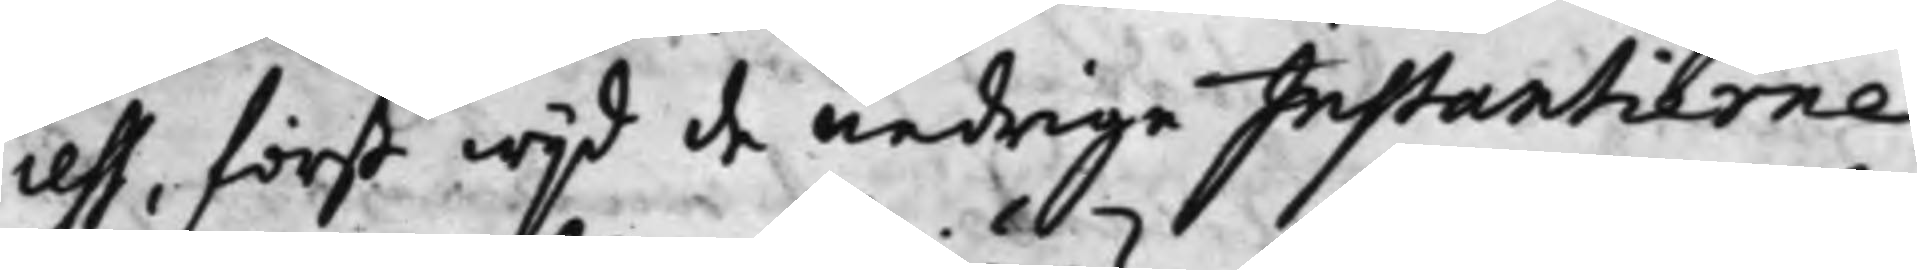cess, först wijd de nedrige Instantierne
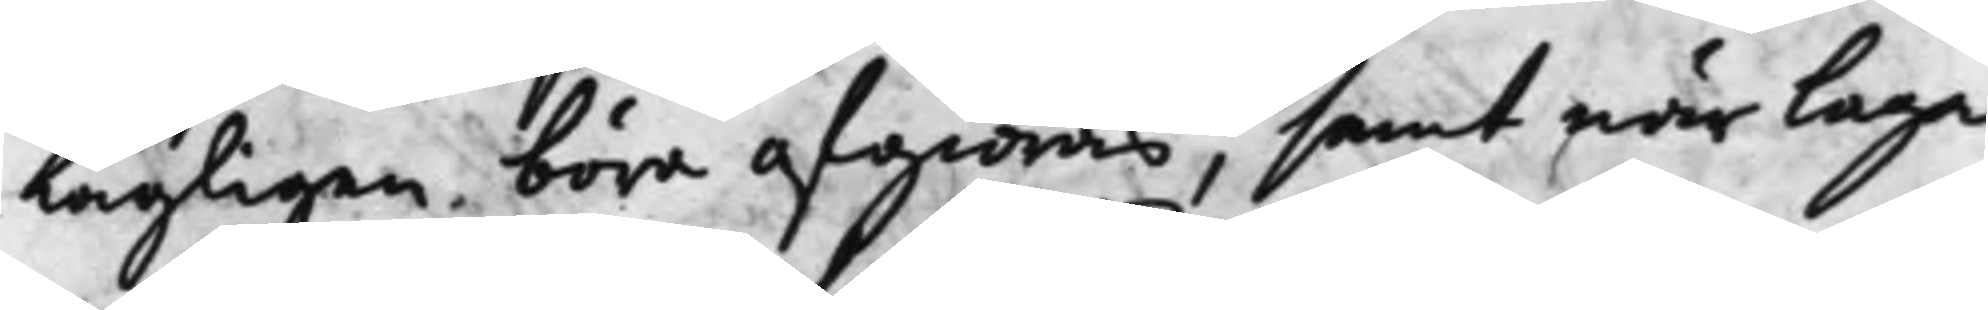Lagligen böra afgiöras, samt när laga
